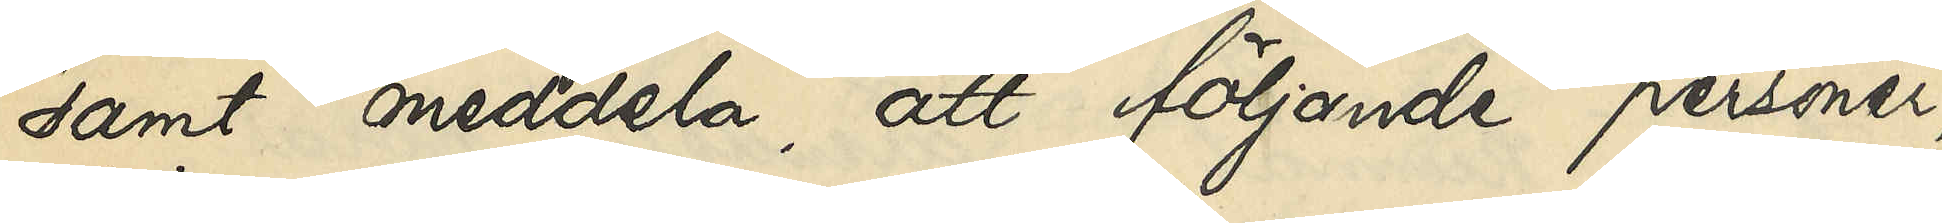samt meddela, att följande personer,
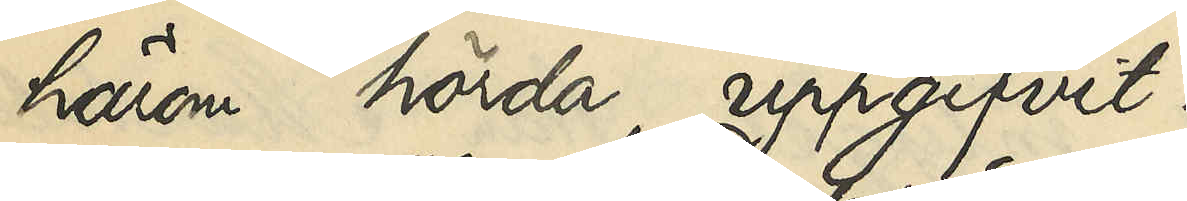härom hörda, uppgifvit:
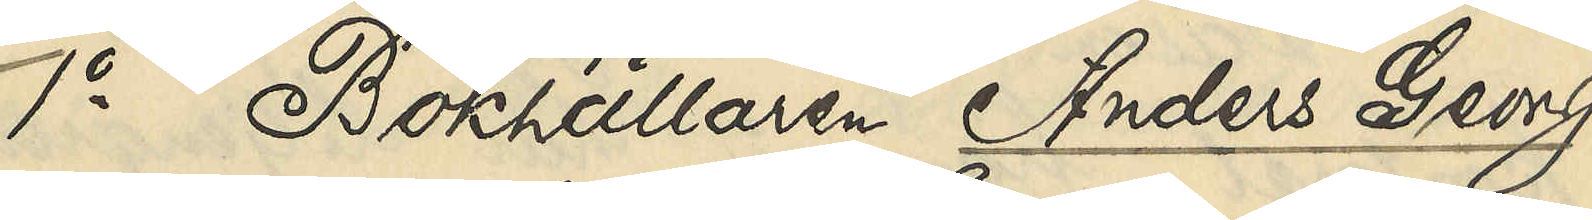1o Bokhållaren Anders Georg
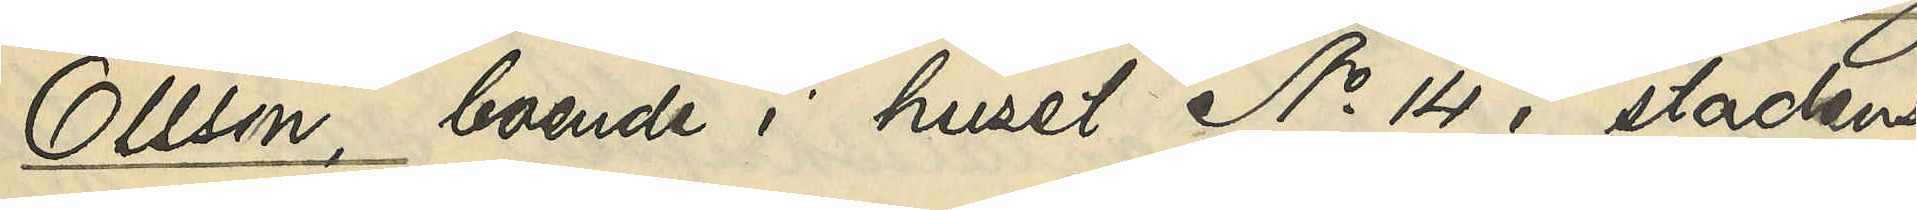Olsson, boende i huset No 14 i stadens
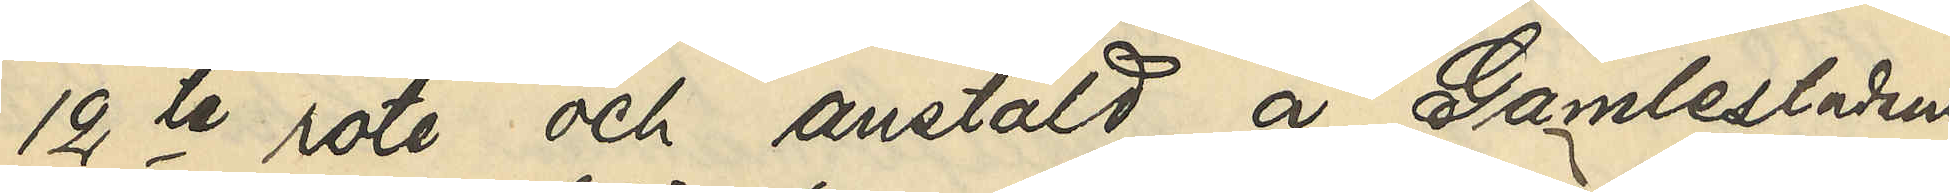12te rote och anstäld å Gamlestadens
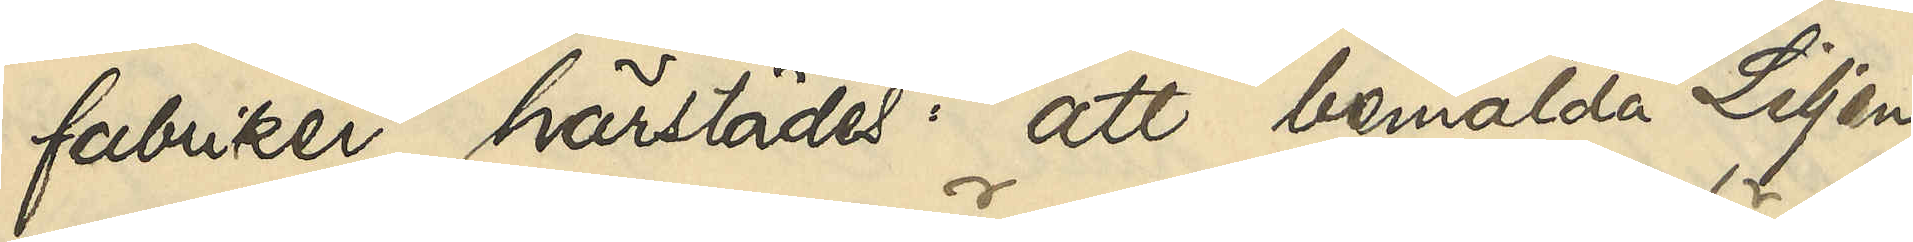fabriker härstädes: att bemälda Liljen¬
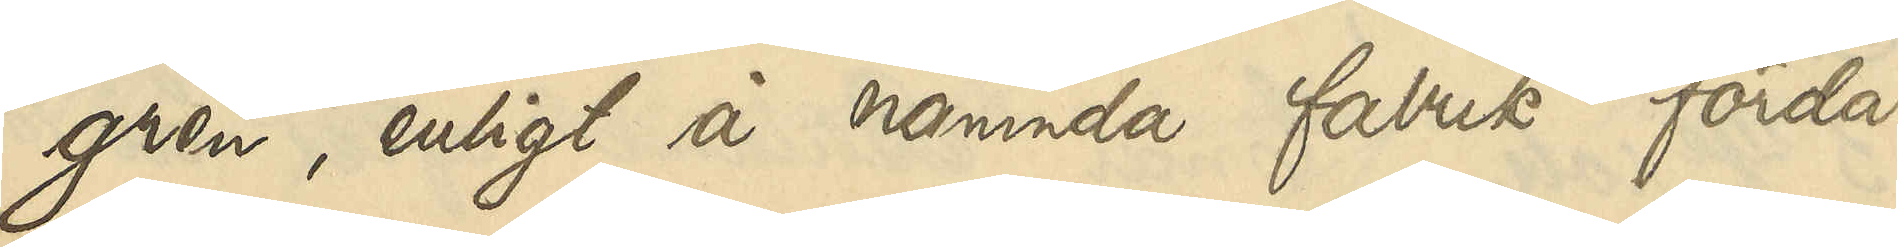gren, enligt å nämnda fabrik förda
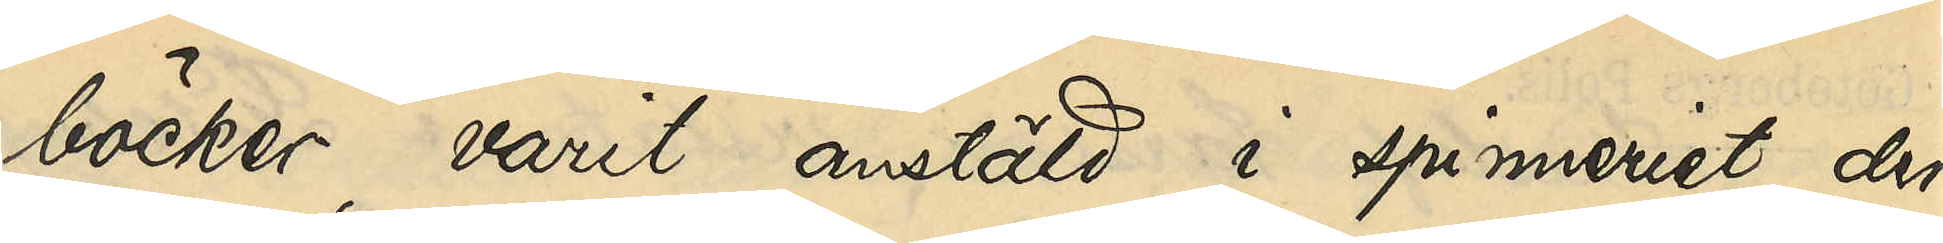böcker, varit anstäld i spinneriet der¬
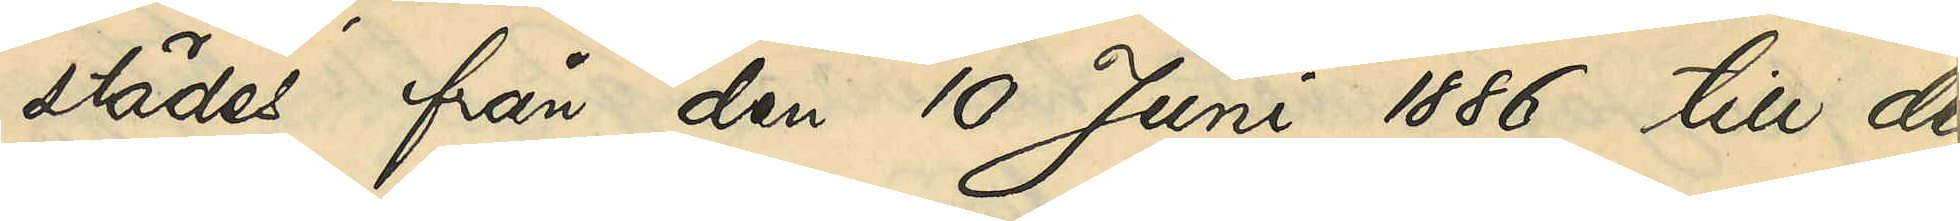städes från den 10 Juni 1886 till den
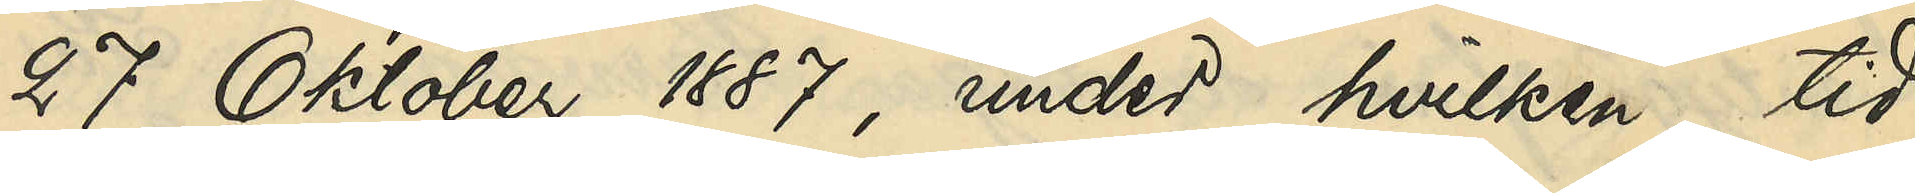27 Oktober 1887, under hvilken tid
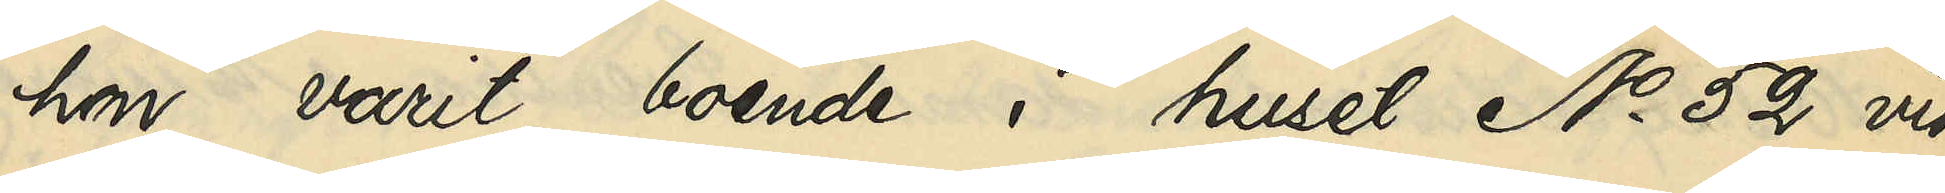hon varit boende i huset No 52 vid
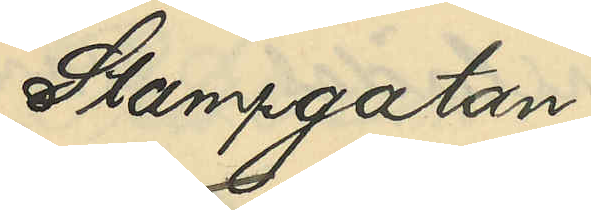Stampgatan;
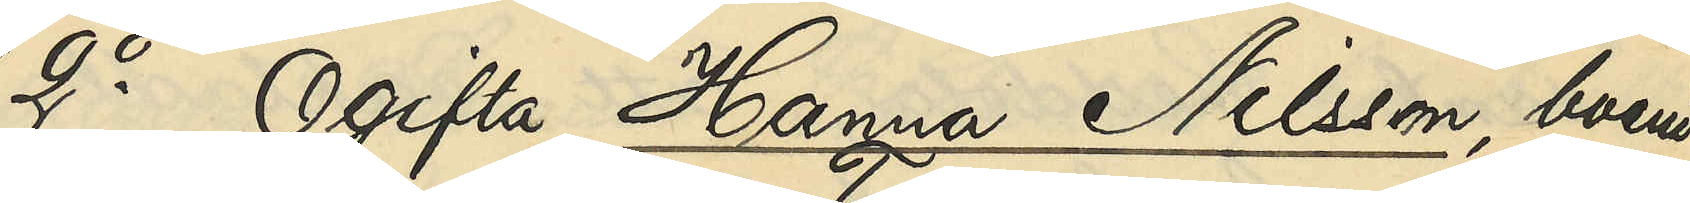2o Ogifta Hanna Nilsson, boende
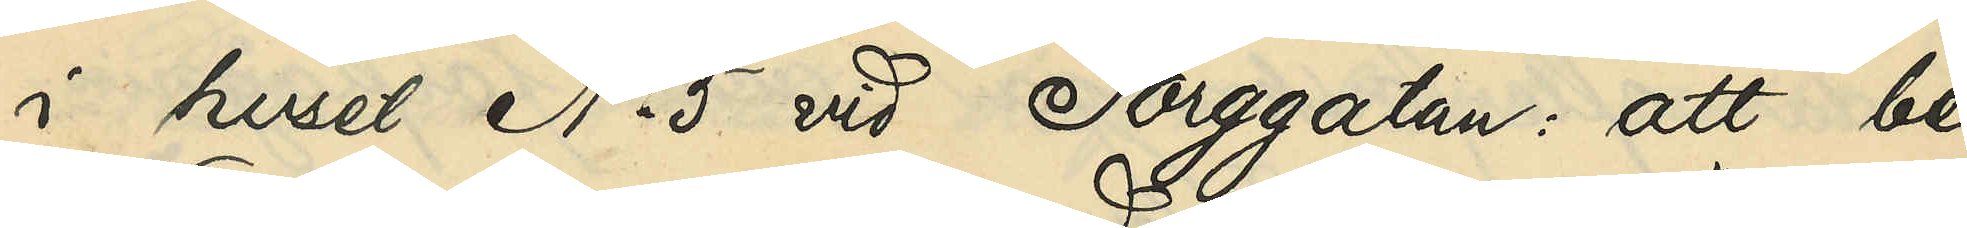i huset No 5 vid Torggatan: att be¬
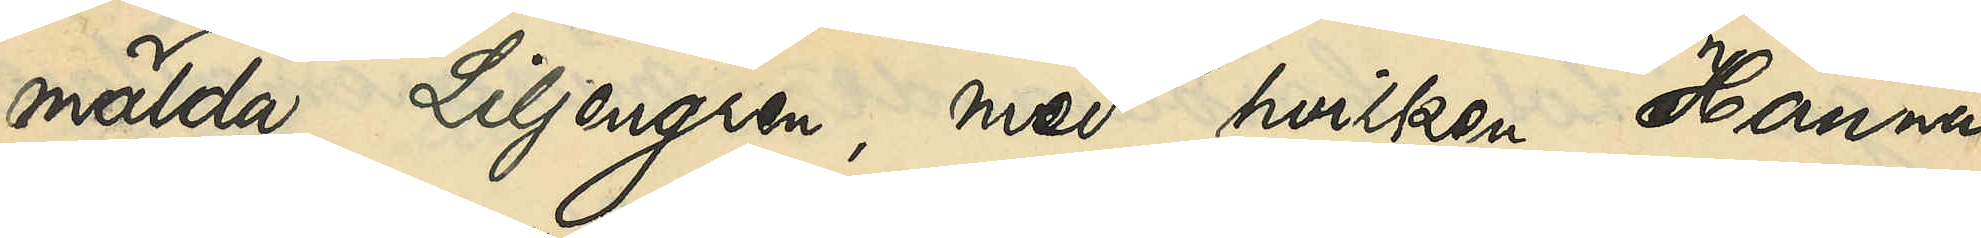mälda Liljengren, med hvilken Hanna
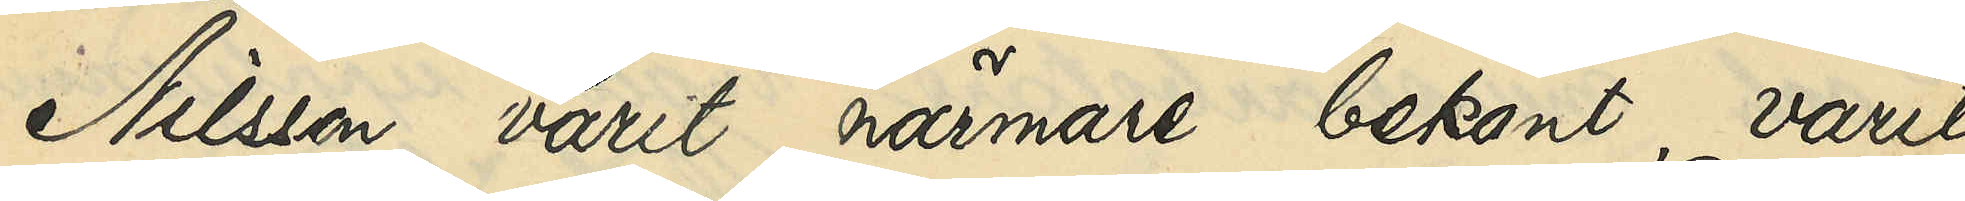Nilsson varit närmare bekant, varit
